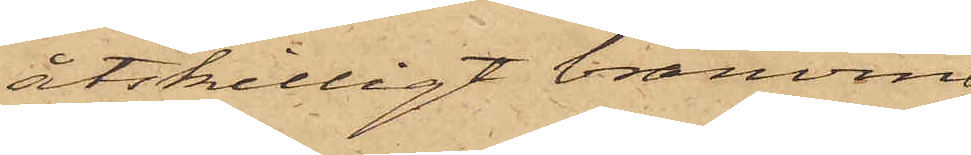åtskilligt bränvin,
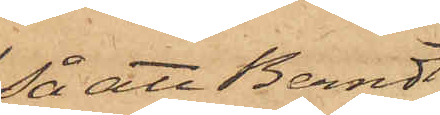så att Berndt
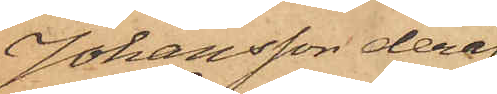Johansson deraf
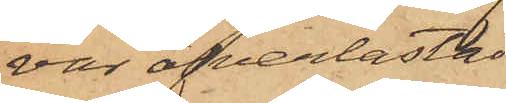var öfverlastad,
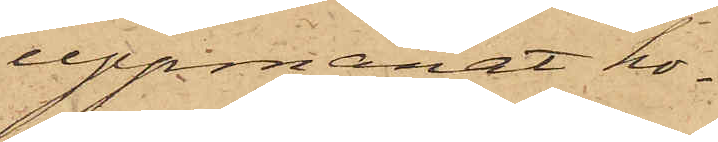uppmanat ho¬
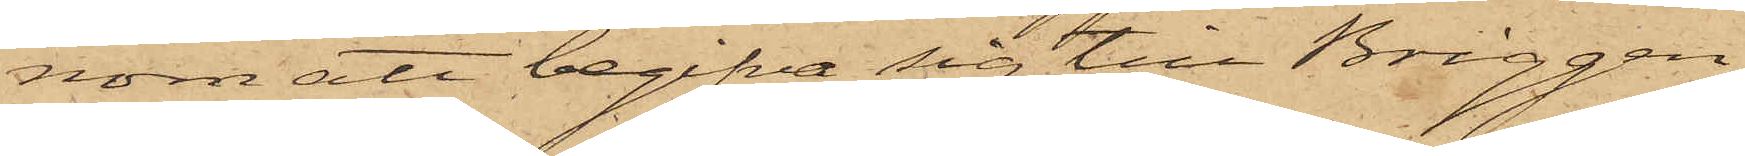nom att begifva sig till Briggen
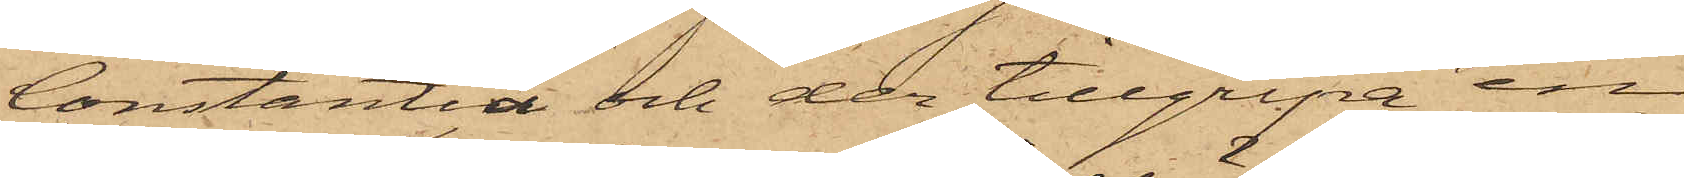Constantia och der tillgripa en
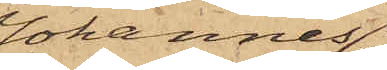Johannes
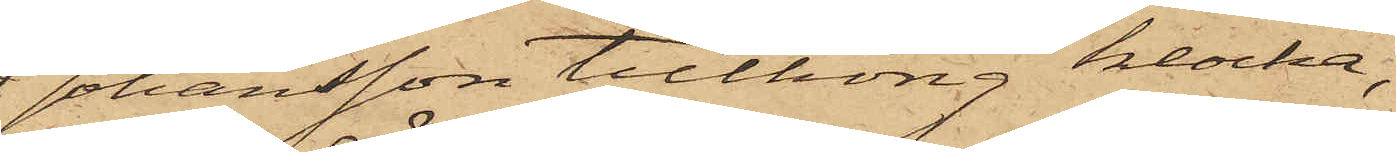Johansson tillhörig klocka,
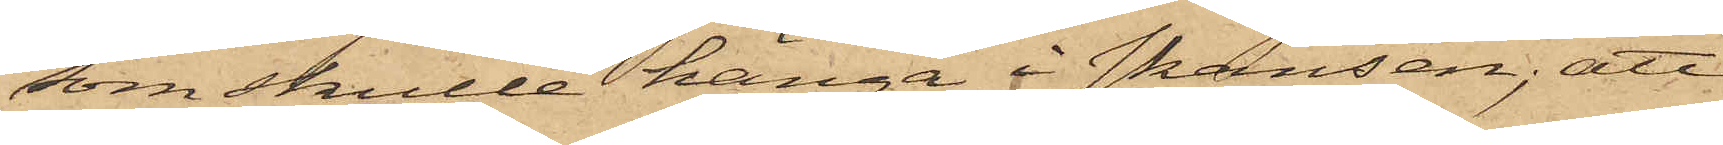som skulle hänga i Skansen; att
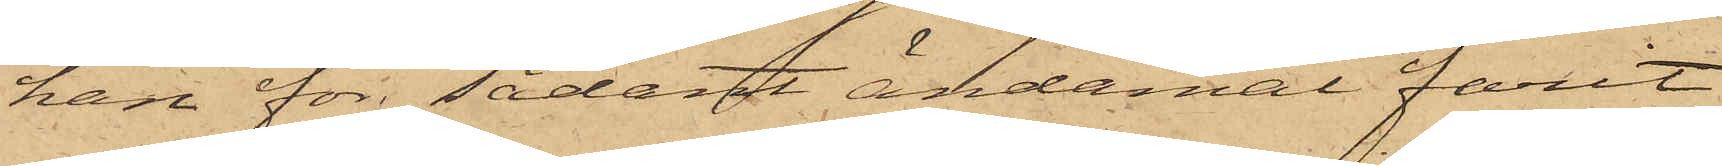han för sådant ändamål farit
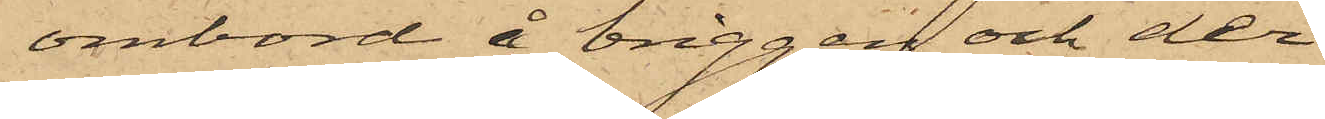ombord å briggen och der
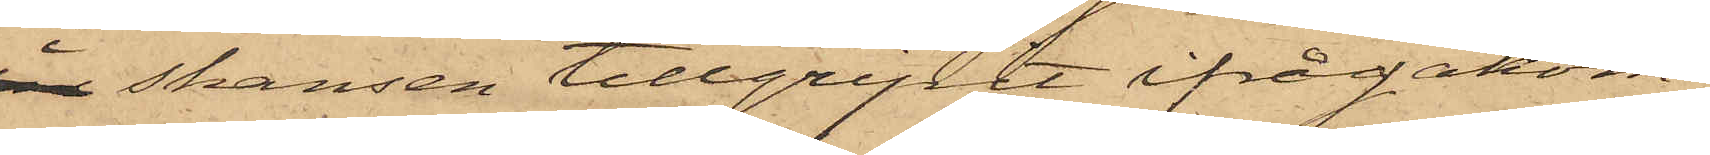i Skansen tillgripit ifrågakom¬
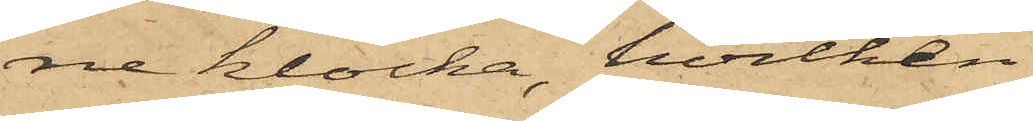ne klocka, hvilken
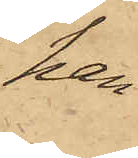han
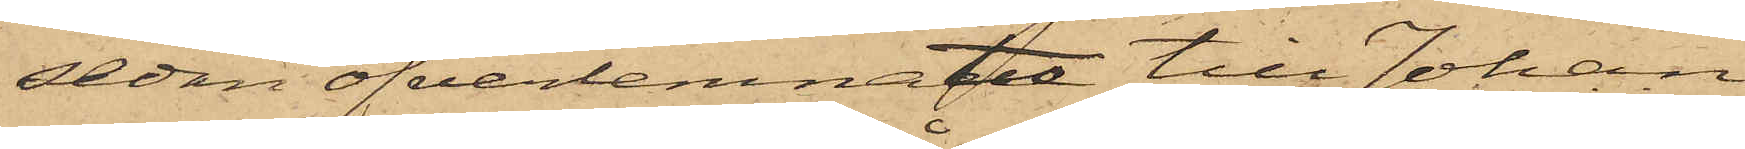sedan öfverlemnade till Johan
